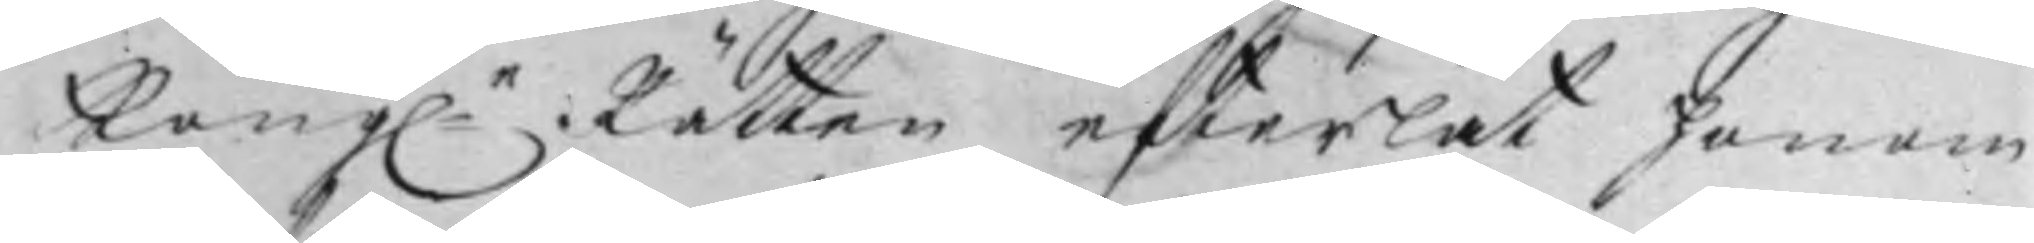Kongle Rätten efterlät honom
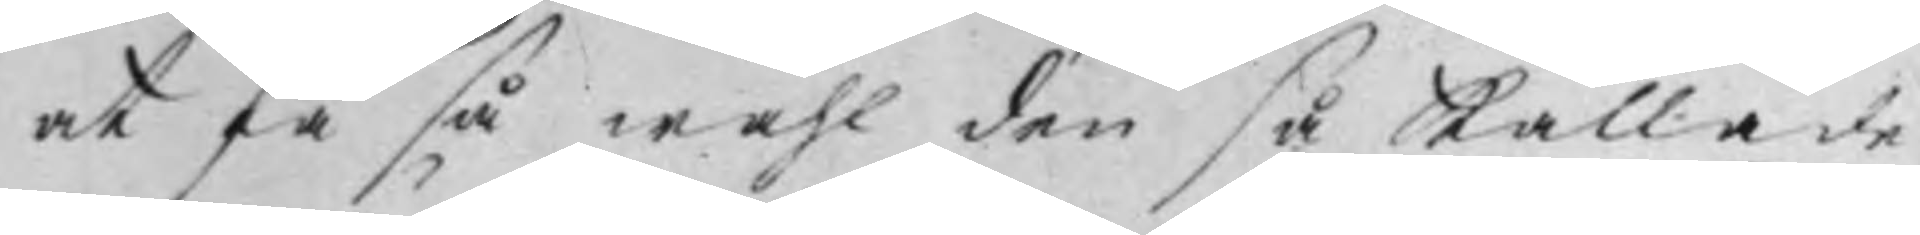att få så wähl den så kallade
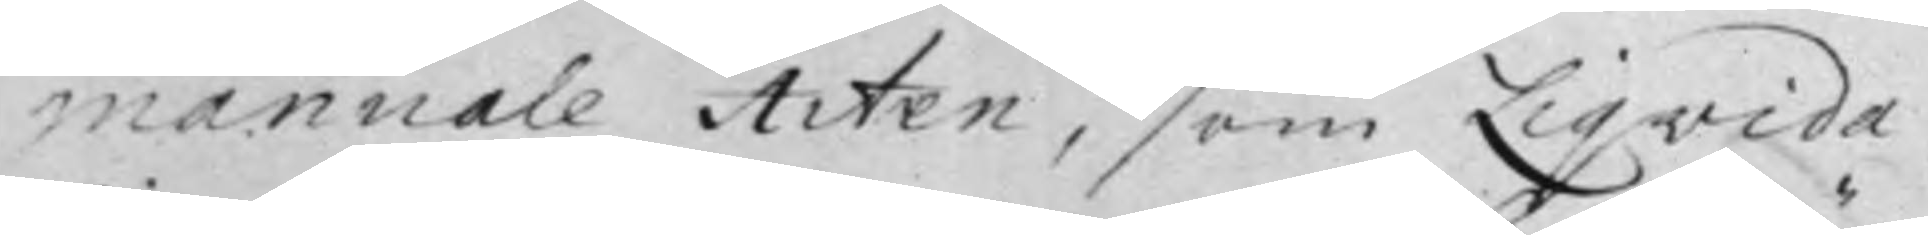manuale Acten, som Liqvida¬
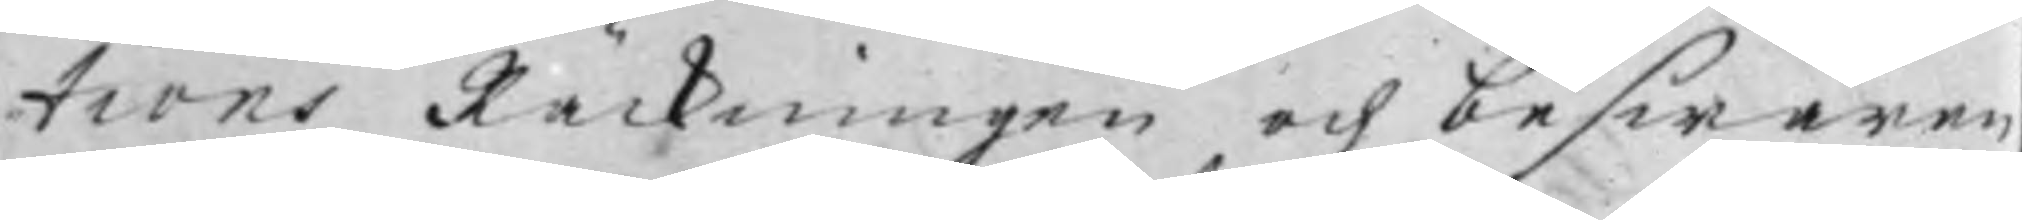tions Räckningen och beswären,
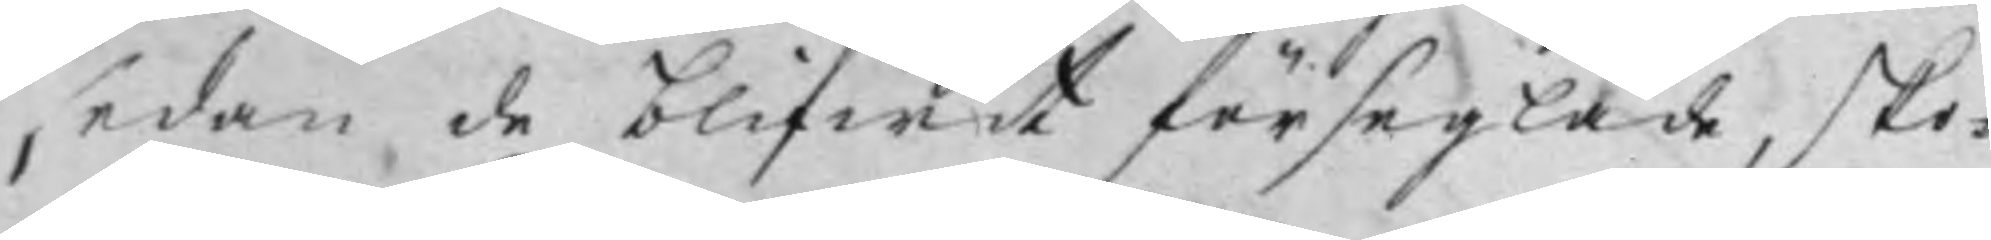sedan de blifwit förseglade, sko¬
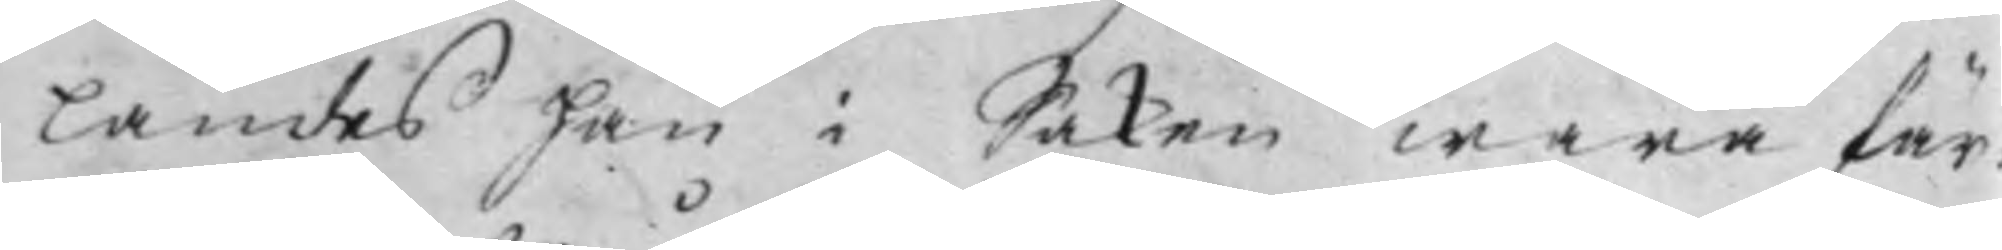landes han i Saken wara fär¬
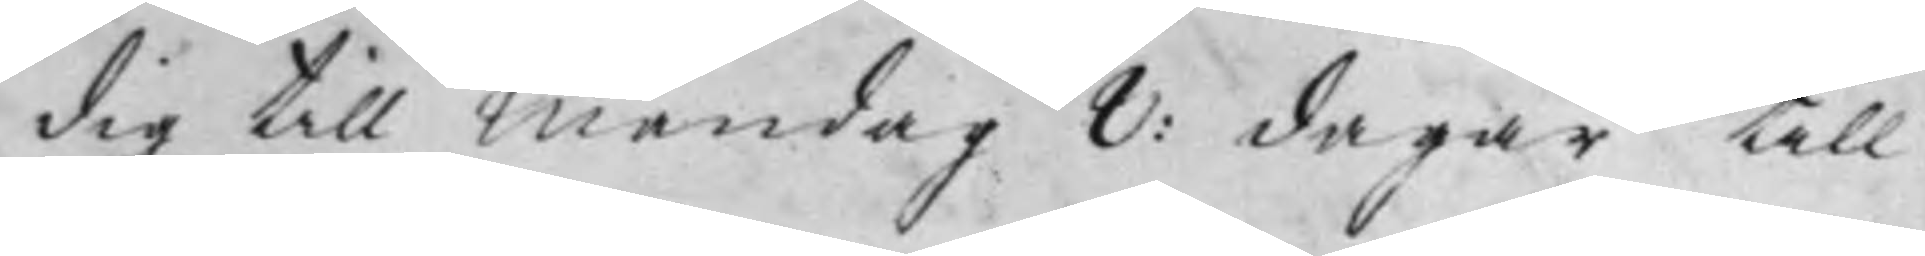dig till Måndag 8: dagar till.
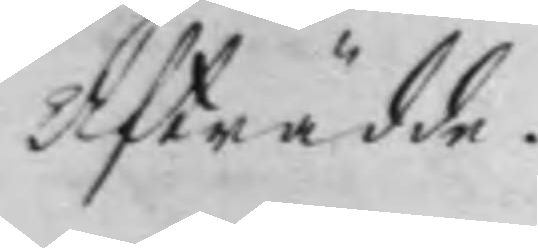Afträdde.
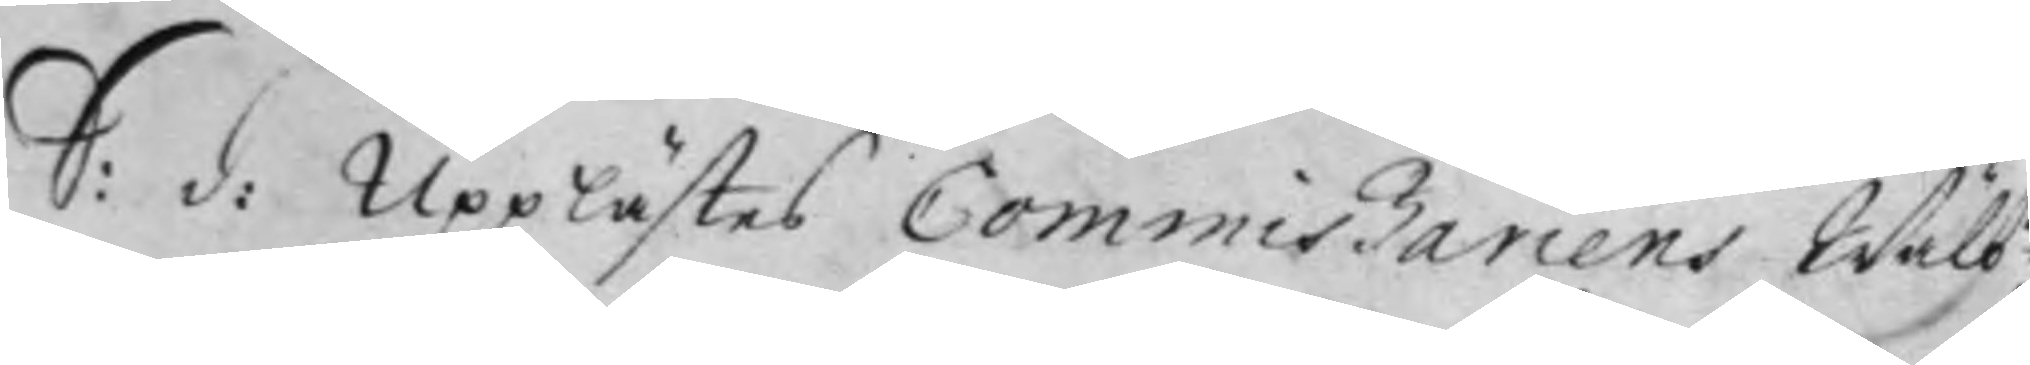S: d: Upplästes Commißariens Wälb
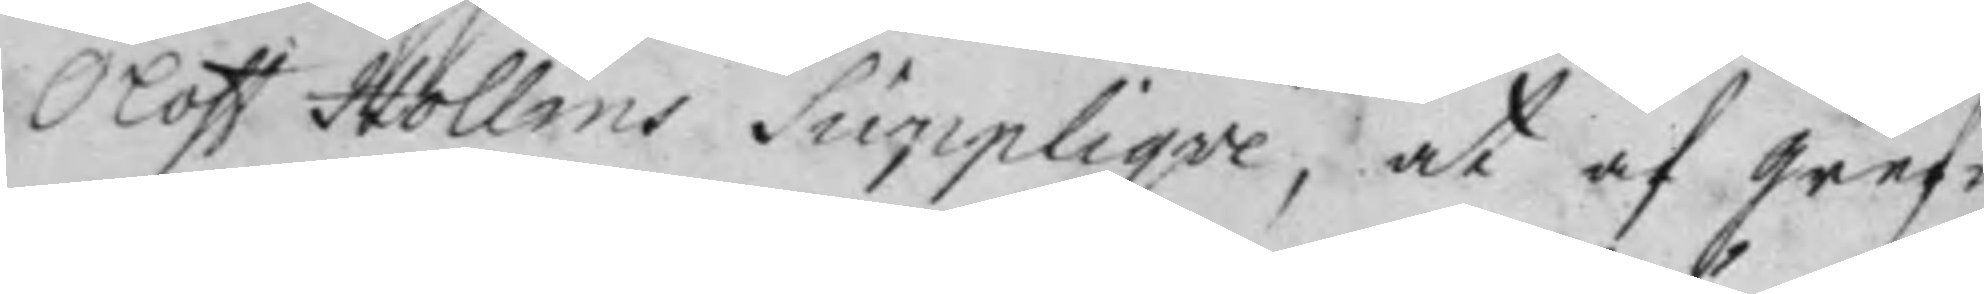Oloff Hollms Suppliqve, at af gref¬
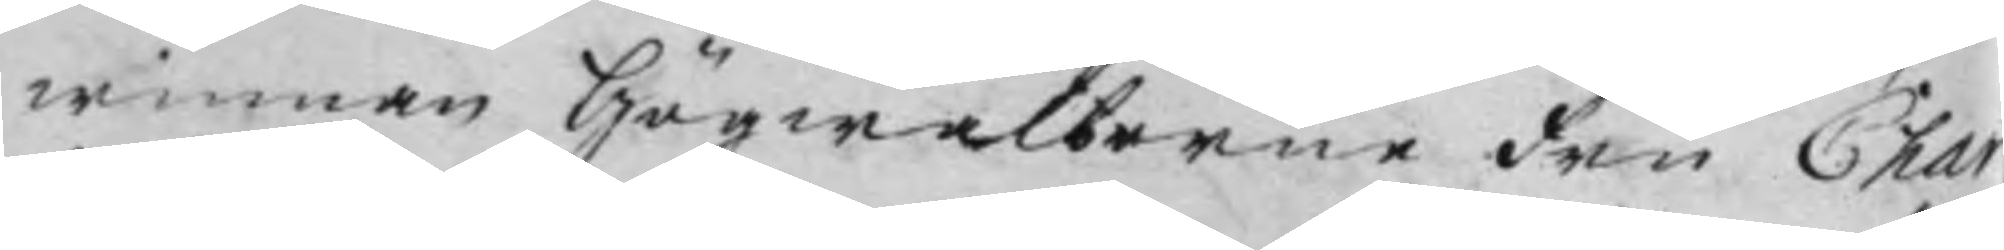winnan Högwälborne Fru Char
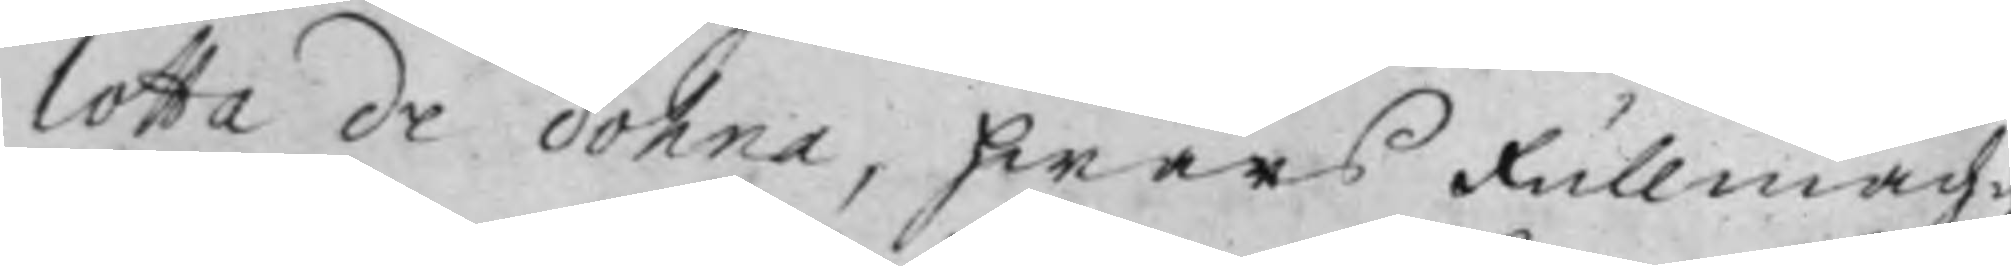lotta De Dohna, hwars Fullmäch¬
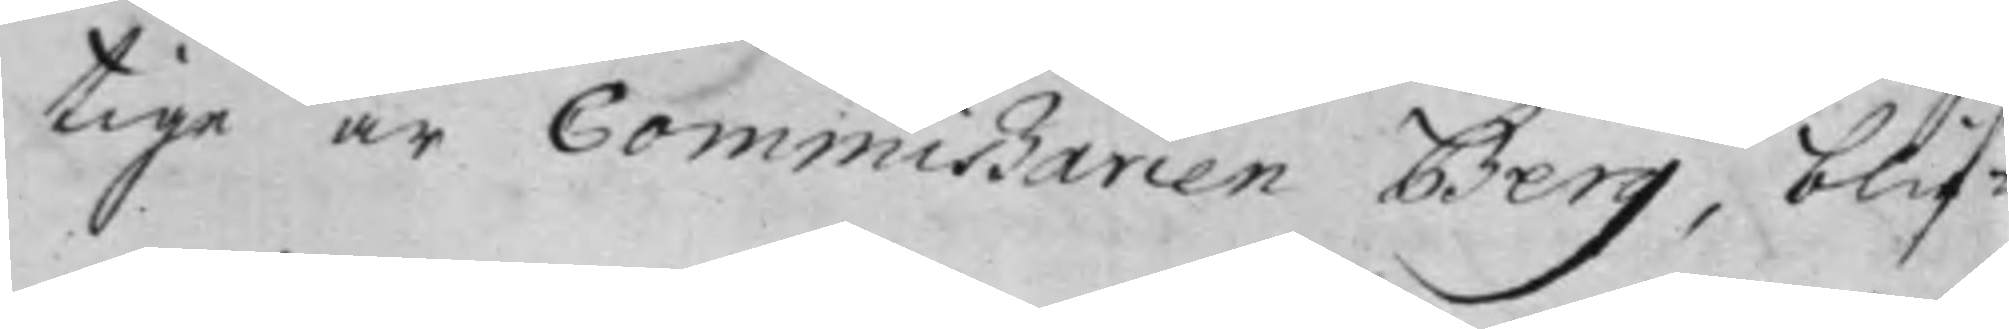tige är Commißarien Berg, blif¬
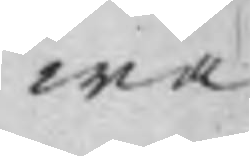wa
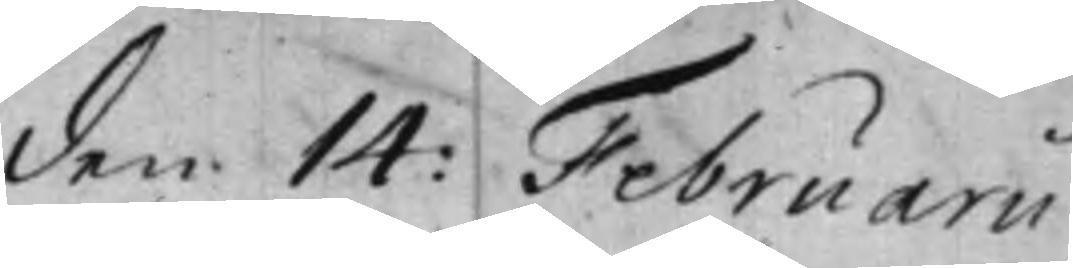den 14: Februarii.
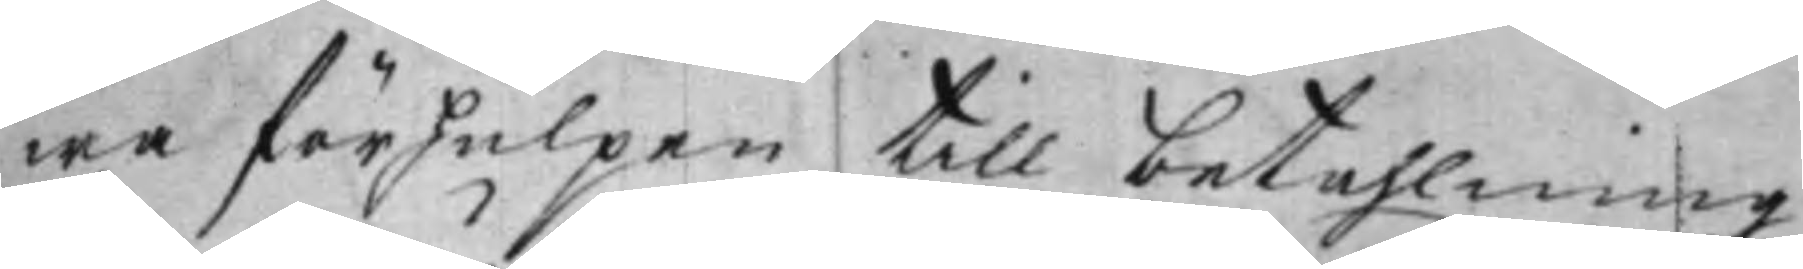wa förhulpen till betahlning
